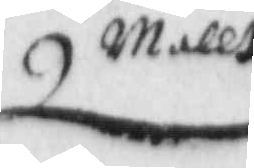mallt
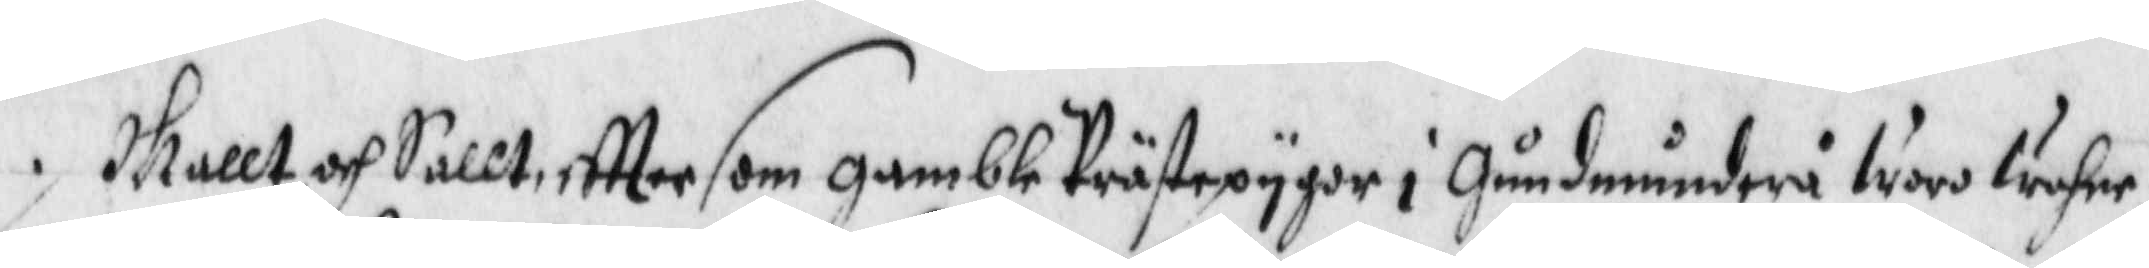Mallt och Sallt, eftter som gambla Prästepygor i Gudmunderå woro wahre
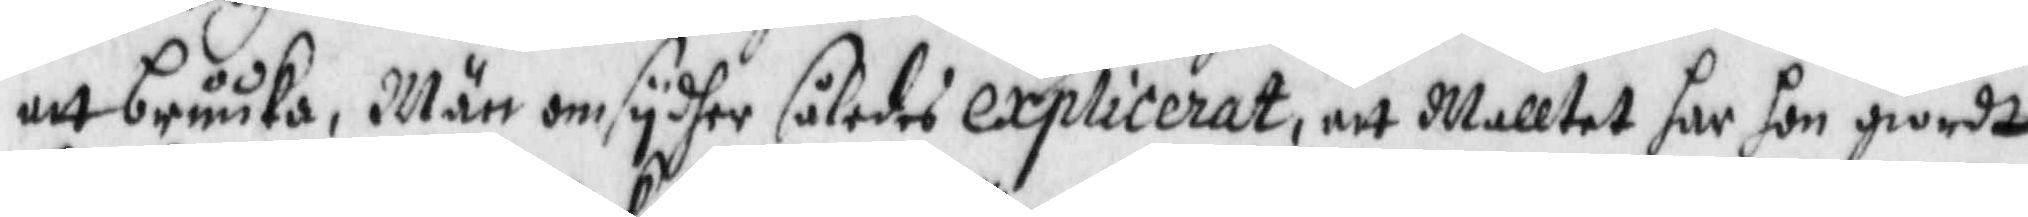att bruuka, Män omsyder således explicerat, att Malltet har hon giordt
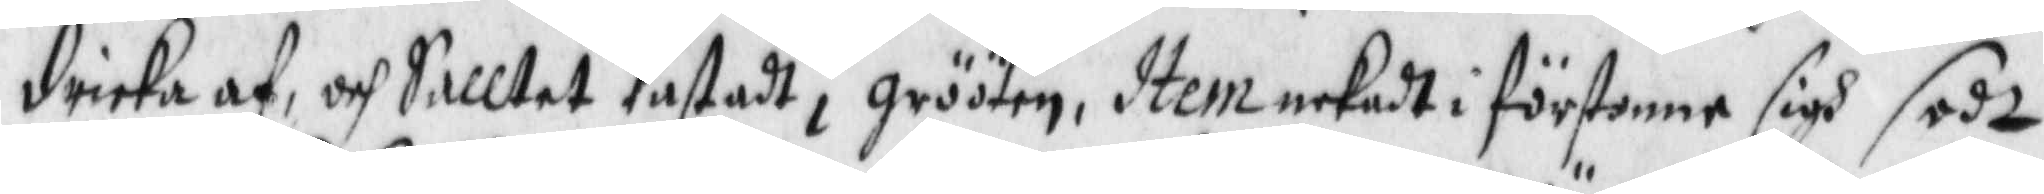dricka af, och Salltet Kastadt i grööten, Item nekadt i förstonne sigh sadt
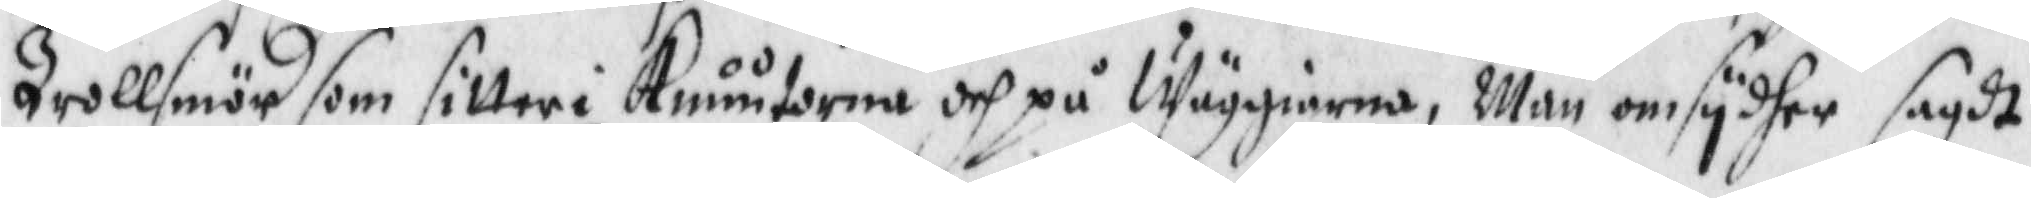Trollsmör som sitter i Knuutorne och på Wäggiarna, Män omsydher sagdt
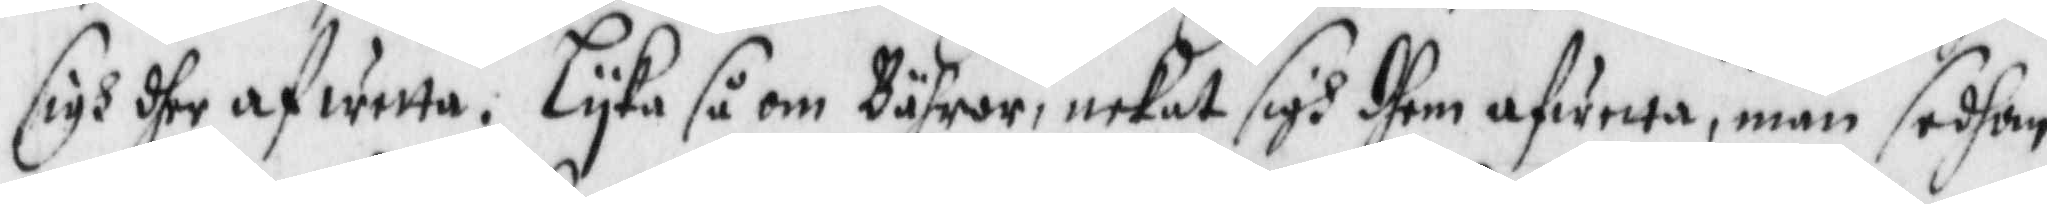sigh dher af wetta. Lyka så om Bähror, nekat sigh dhem afwetta, män sedhan
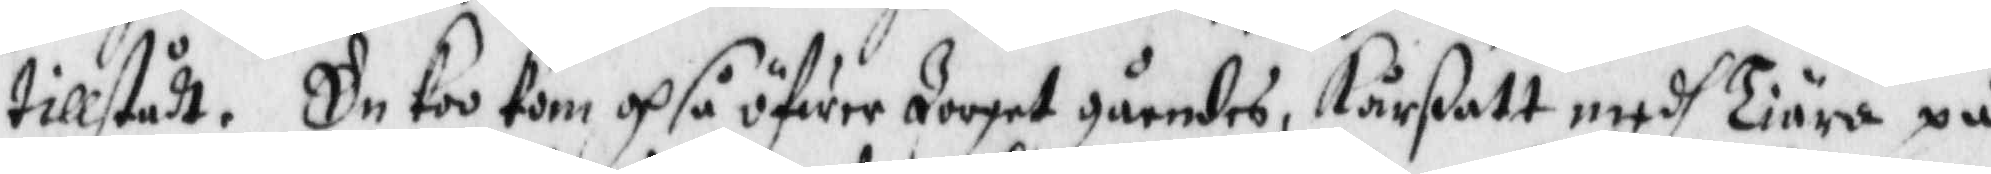tillstådt. En koo kom opså öfwer Tooget gåendes, Kårßatt medh Tiära på
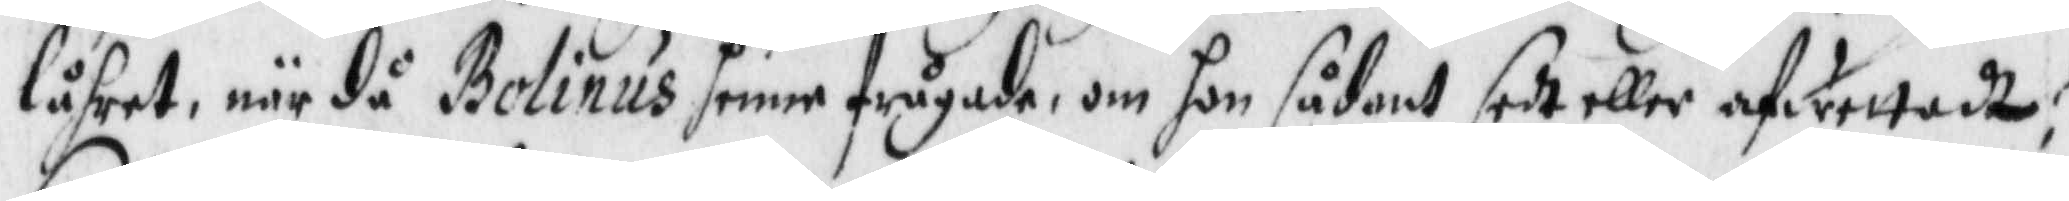låhret, när då Bolinus henne frågade, om hon sådant sedt eller afwettadt?
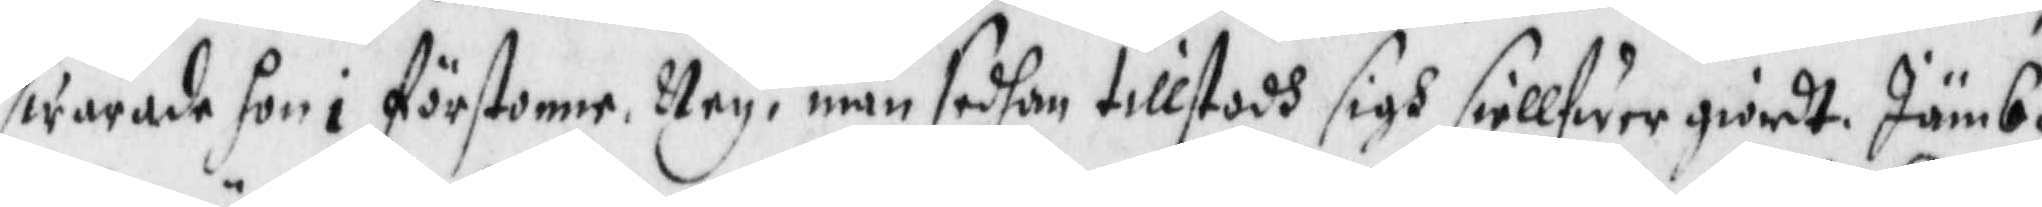swarade hon i förstone, Ney, män sedhan tillstodh sigh siellfwer giordt. Jämb¬
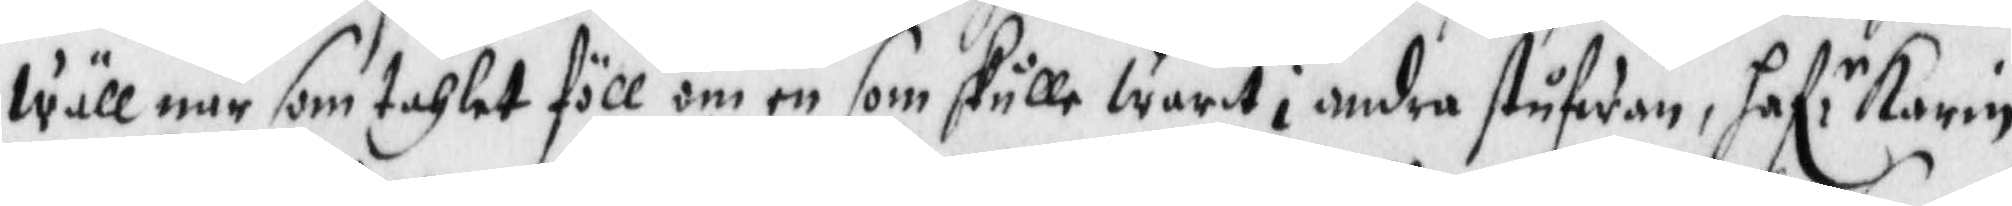wäll när som tahlet föll om en som skulle warit i andra stufwan, haf:r Karin
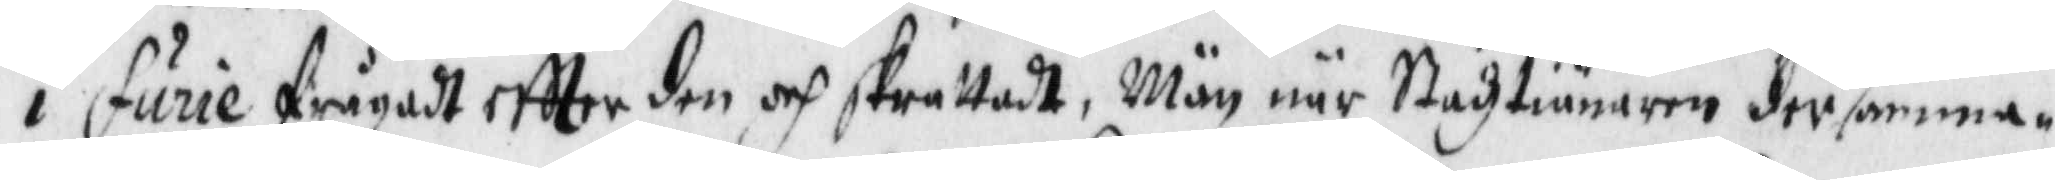i Furie frågadt eftter den och skrattadt, Män när Stadztiänaren dersamma¬
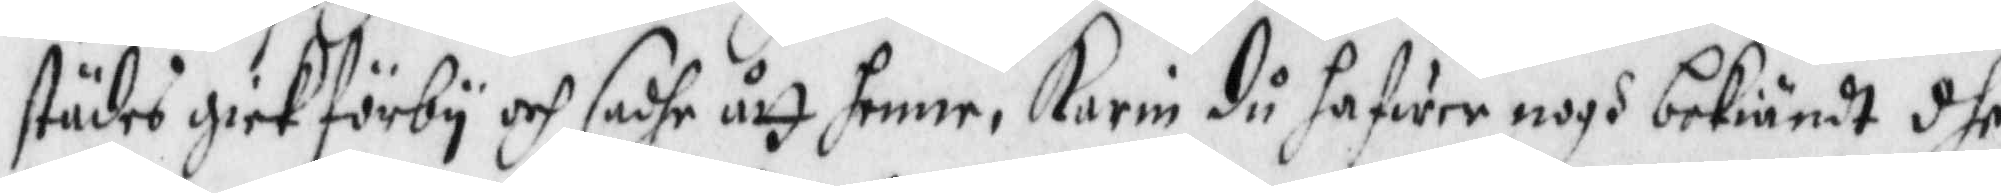städes gick förby och sadhe ått henne, Karin då hafwer nogh bekiändt dhe
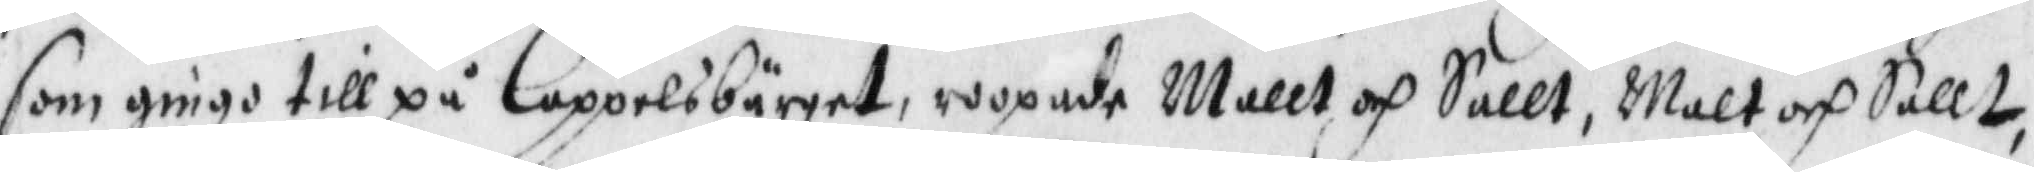som gingo till på Coppelsbärget, ropande Mallt och Sallt, Malt och Sallt,
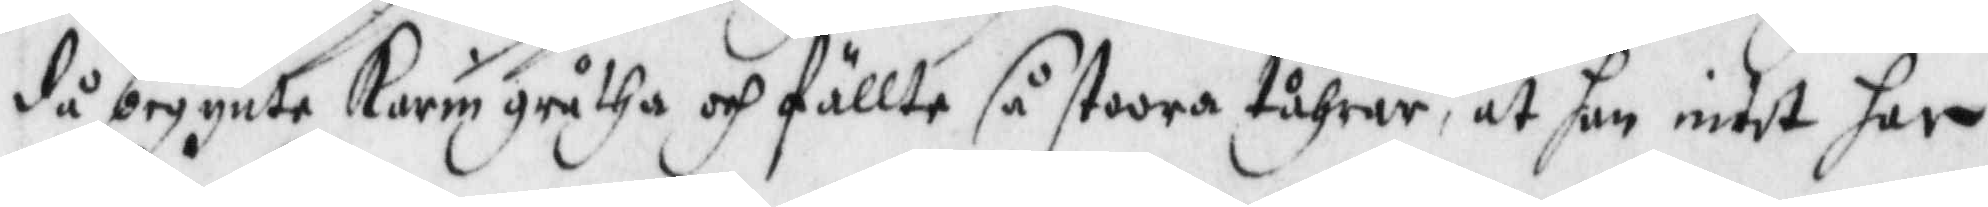då begynte Karin gråtha och fällte så stoora tåhrar, at han intet har
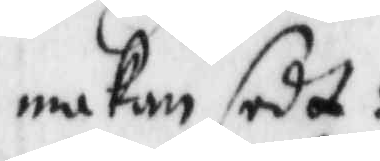maken sedt:
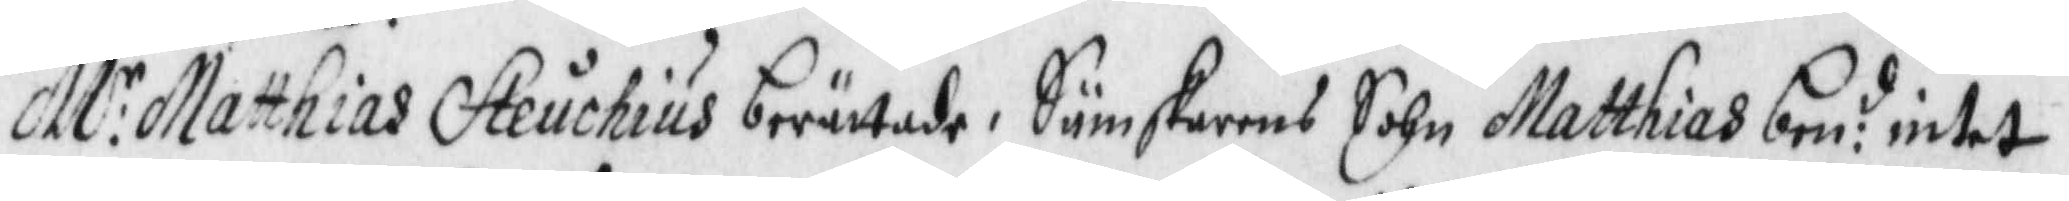M:r Matthias Steuchius berättade i Sämskarens Sochn Matthias ben:d intet
